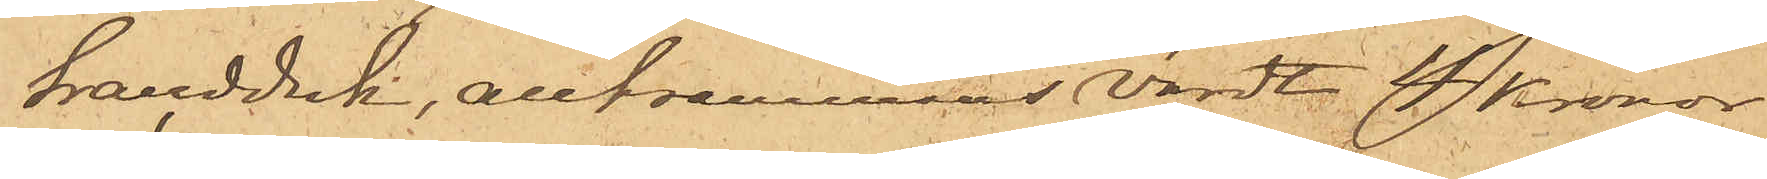handduk, alltsammans värdt 4 Kronor
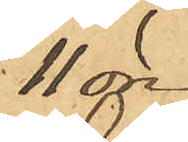11 öre.
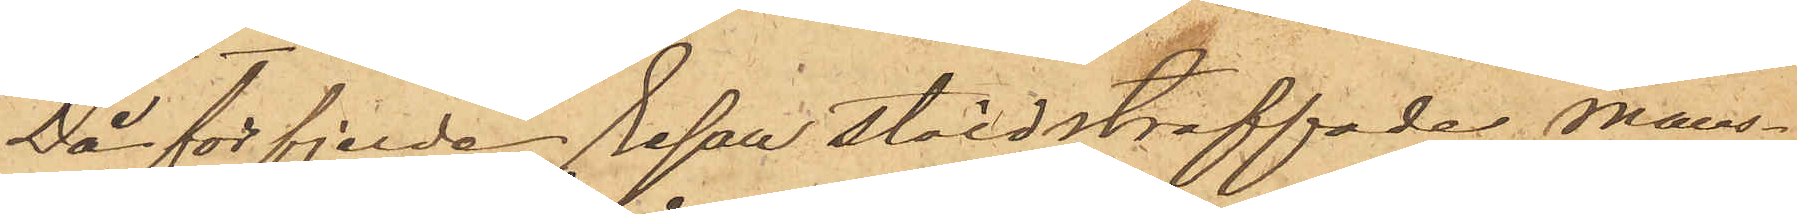Då för fjerde resan stöld straffade mans¬
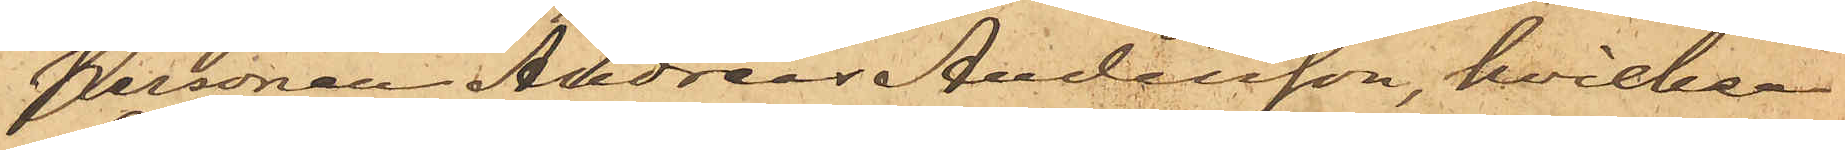personen Andreas Andersson, hvilken
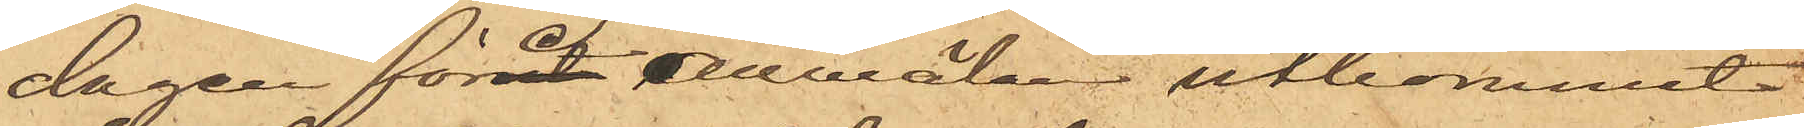dagen före anmälan utkommit
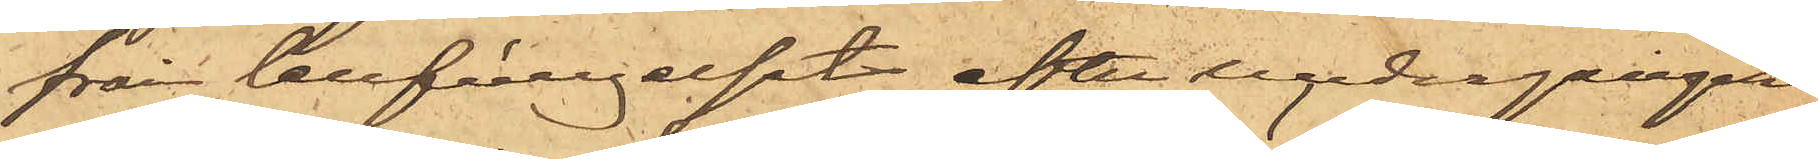från cellfängelset efter undergången
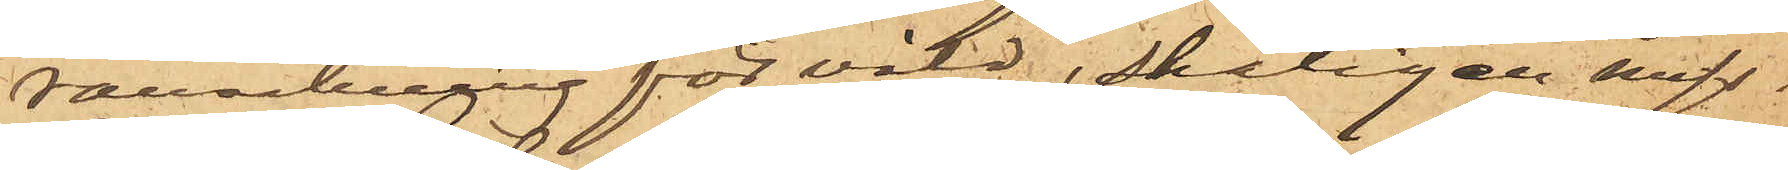ransakning för våld, skäligen miss¬
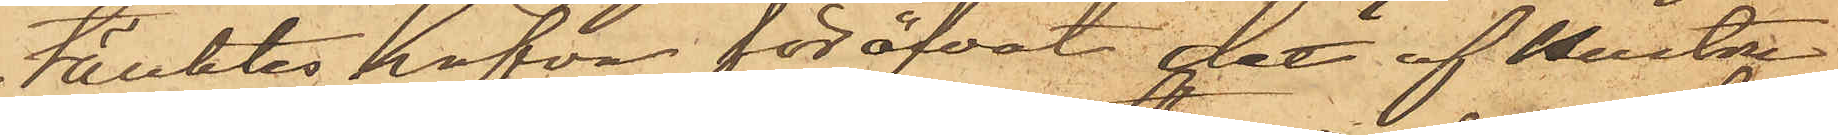tänktes hafva föröfvat det af Hustru
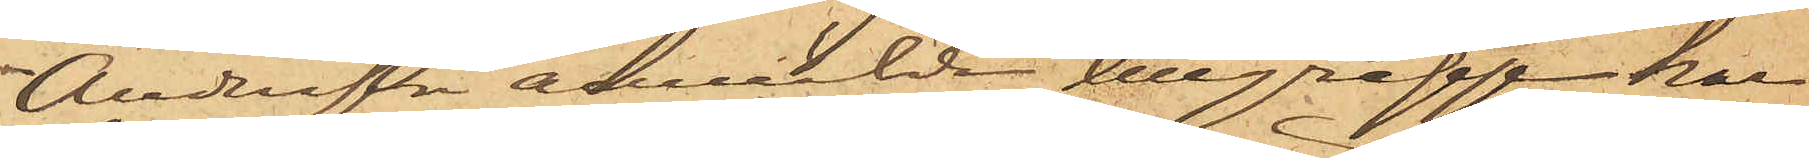Andersson anmälde tillgrepp har
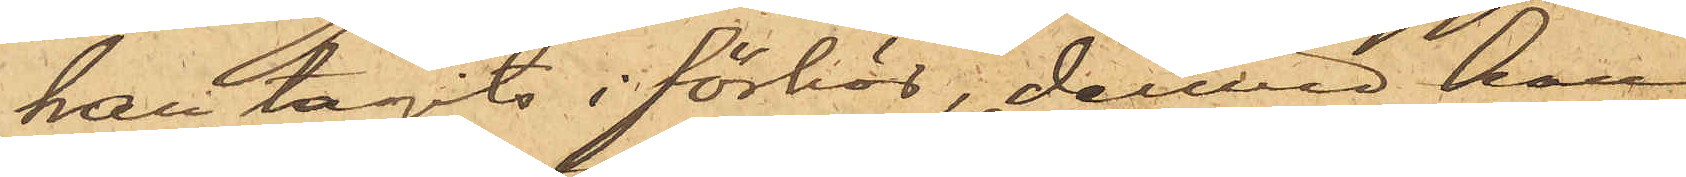han tagits i förhör, dervid han
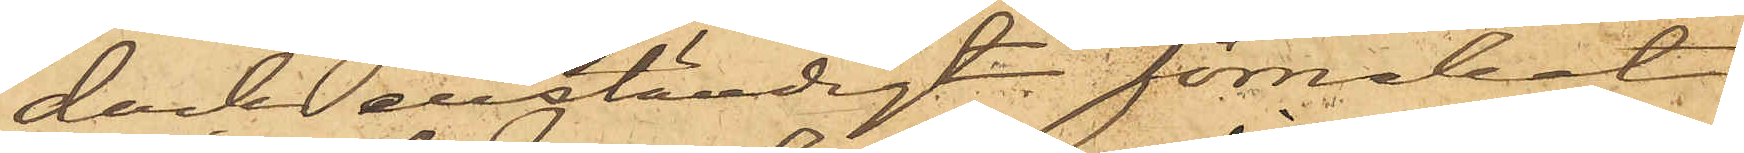dock enständigt förnekat
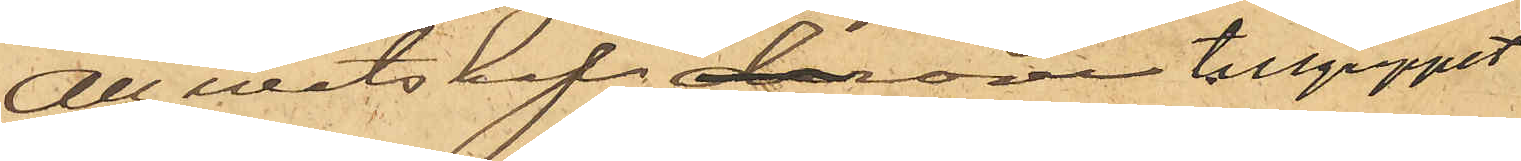all wetskap om tillgreppet.
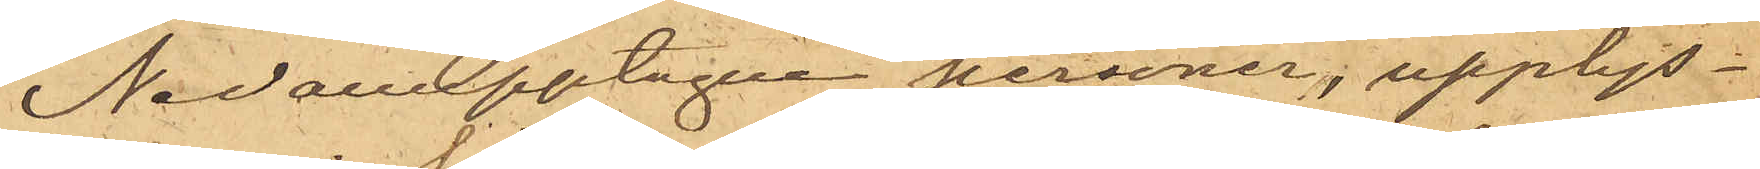Nedanupptagne personer, upplys¬
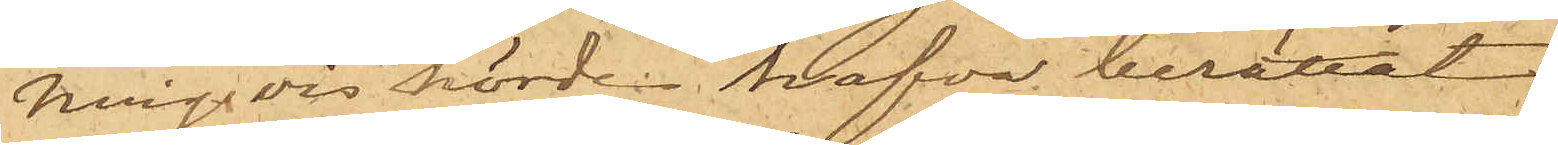ningsvis hörde hafva berättat.
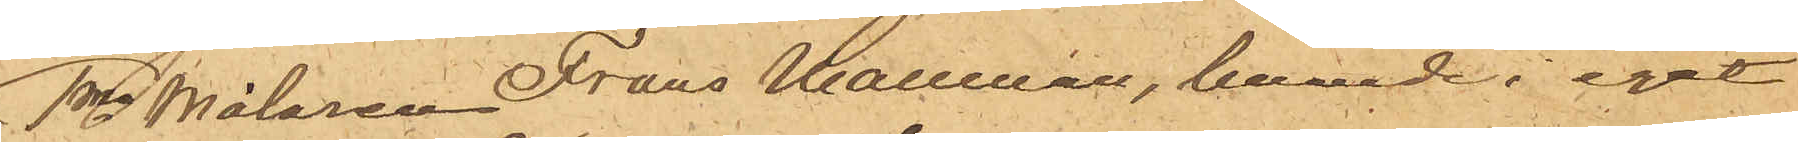1mo Målaren Frans Hallman, boende i eget
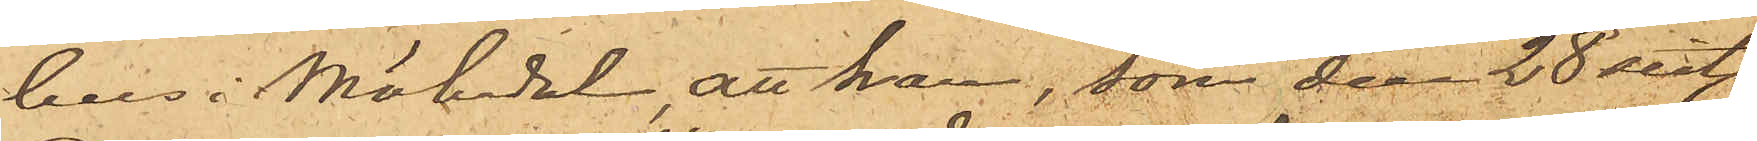hus i Mölndal, att han, som den 28 sist.
